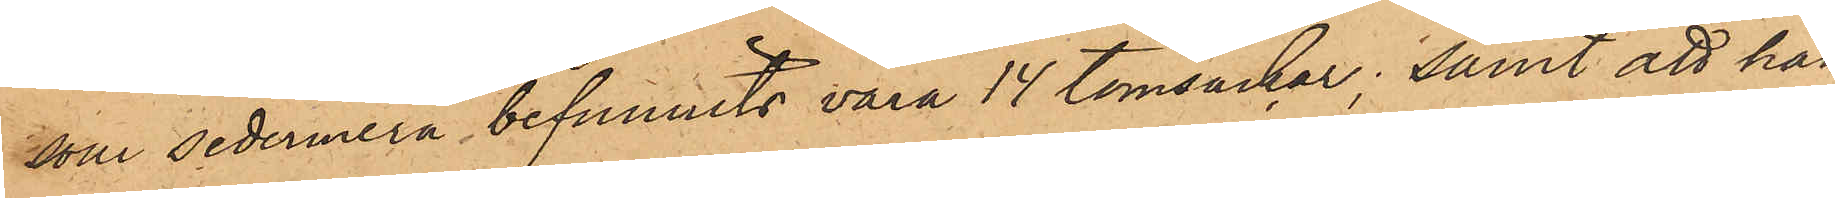som sedermera befunnits vara 14 tomsäckar; samt att han
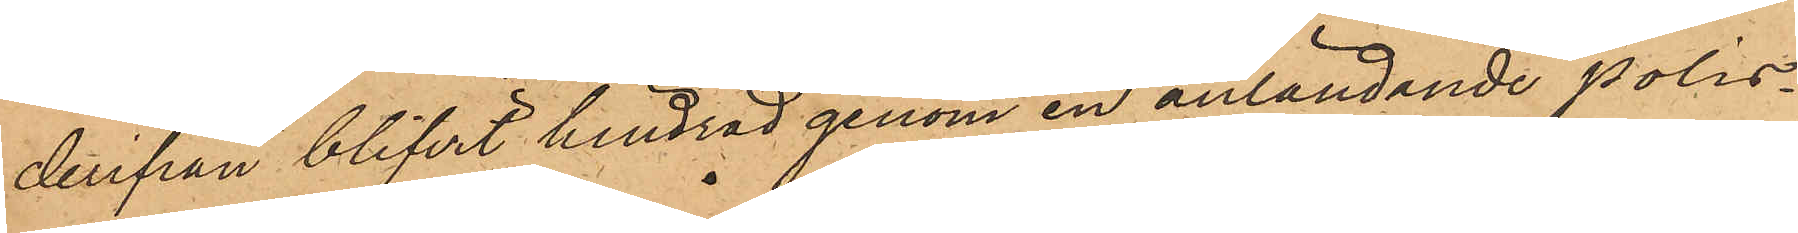derifrån blifvit hindrad genom en anländande polis¬
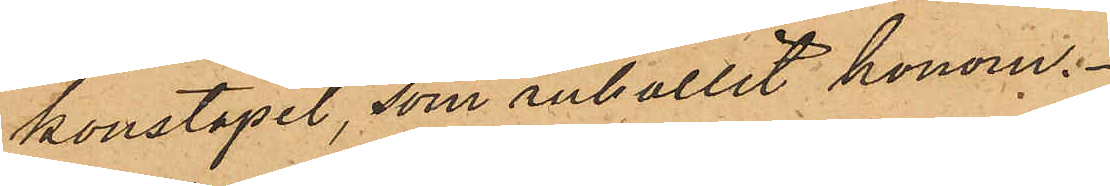konstapel, som anhållit honom.
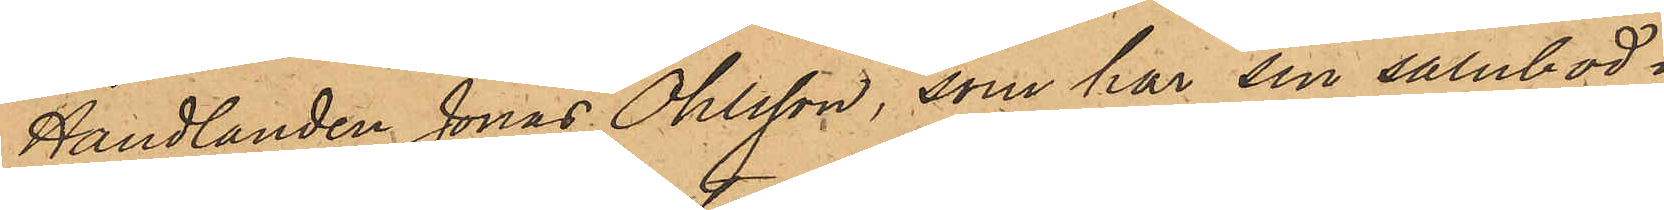Handlanden Jonas Ohlsson, som har sin salubod.
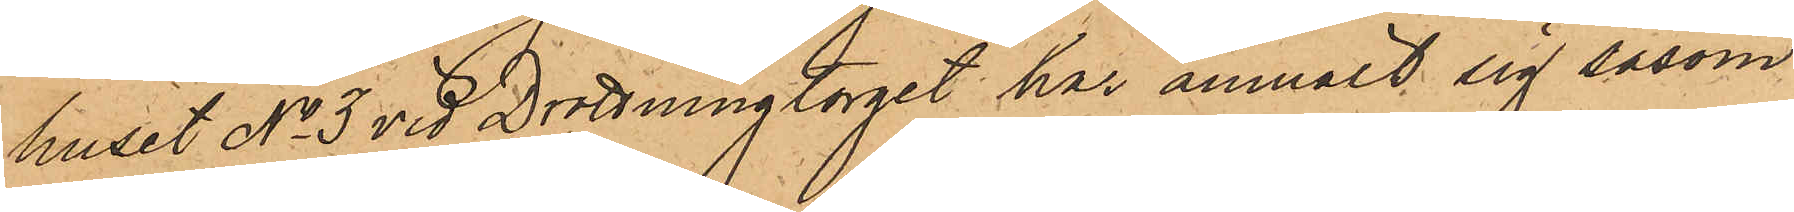huset No 3 vid Drottningtorget, har anmält sig såsom
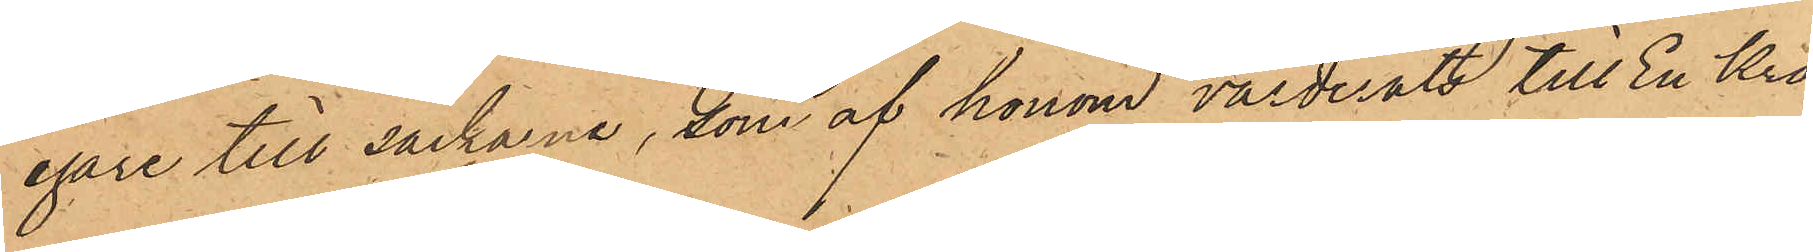egare till säckarna, som af honom värderats till En Kro¬
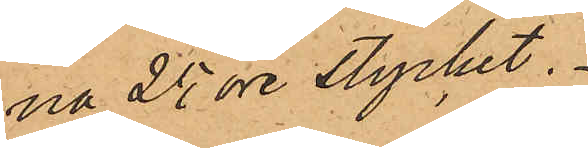na 25 öre stycket.
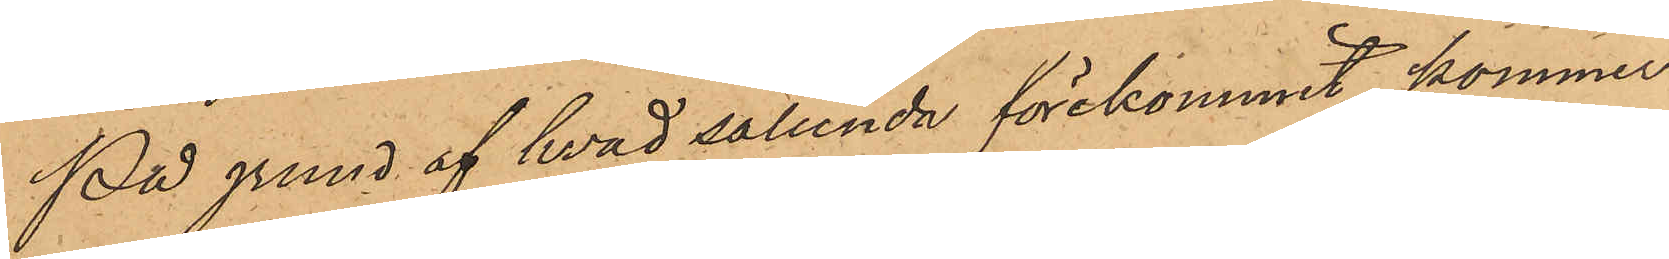På grund af hvad sålunda förekommit, kommer
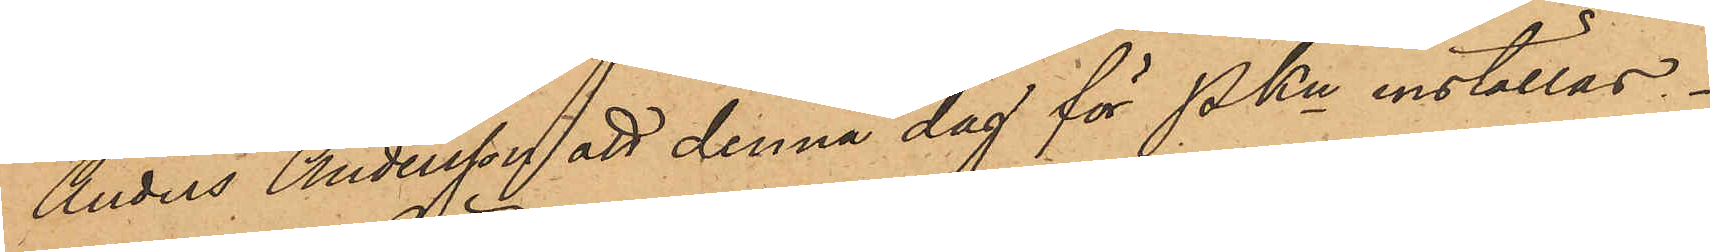Anders Andersson att denna dag för Pkn inställas.
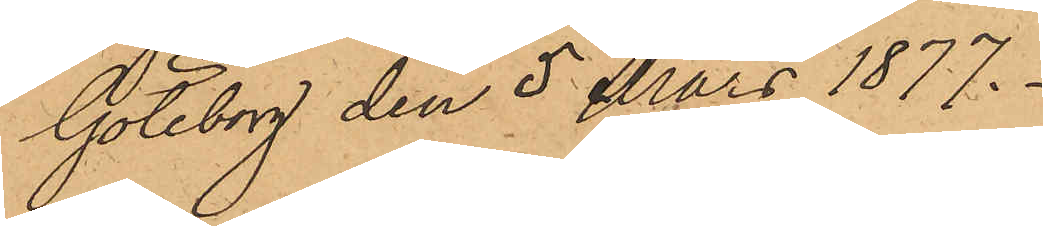Göteborg den 5 Mars 1877.
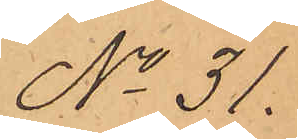No 31.
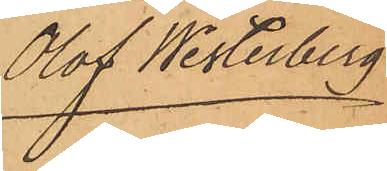Olof Westerberg
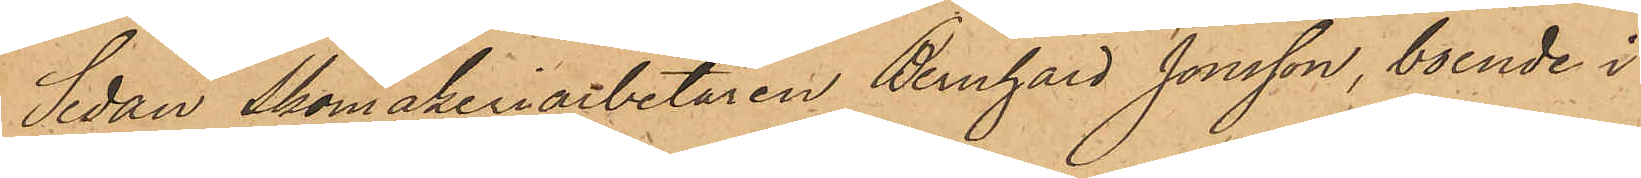Sedan Skomakeriarbetaren Bernhard Jonsson, boende i
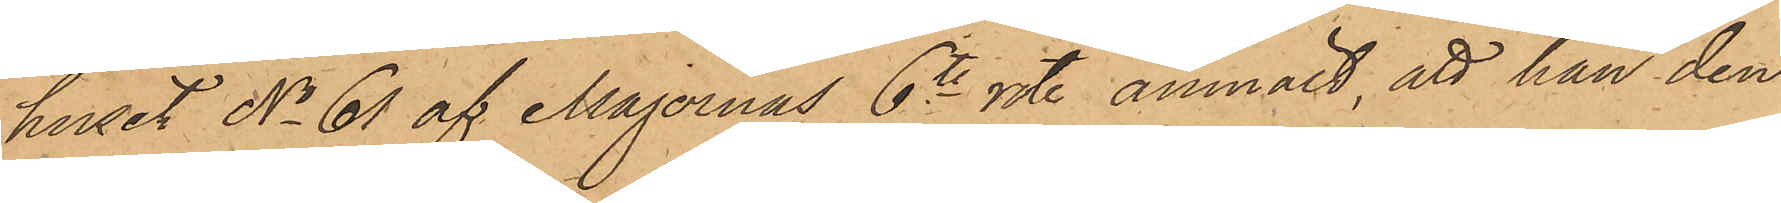huset No 61 af Majornas 6te rote, anmält, att han den
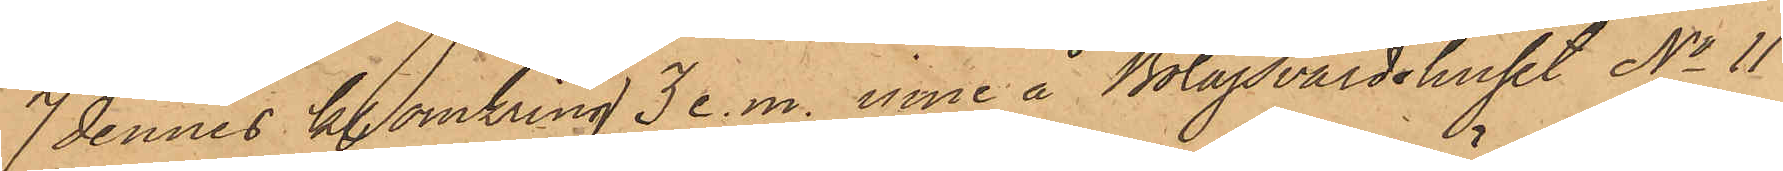7 dennes kl omkring 3 e.m. inne å Bolagsvärdshuset No 11
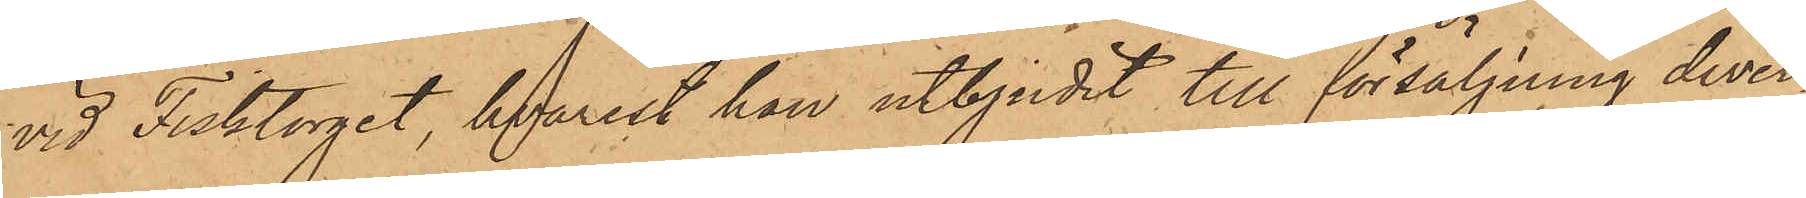vid Fisktorget, hvarest han utbjudit till försäljning diver¬
